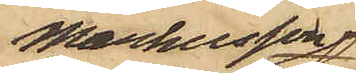Markusson
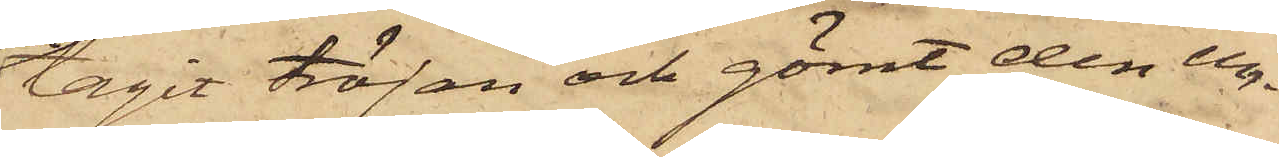tagit tröjan och gömt den un¬
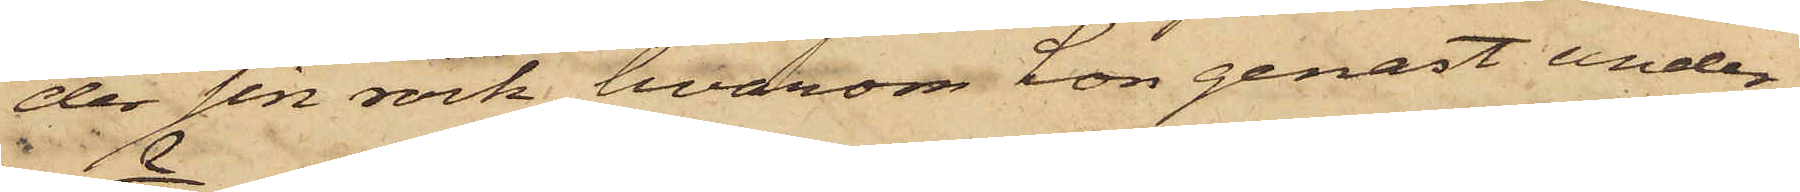der sin rock, hvarom hon genast under¬
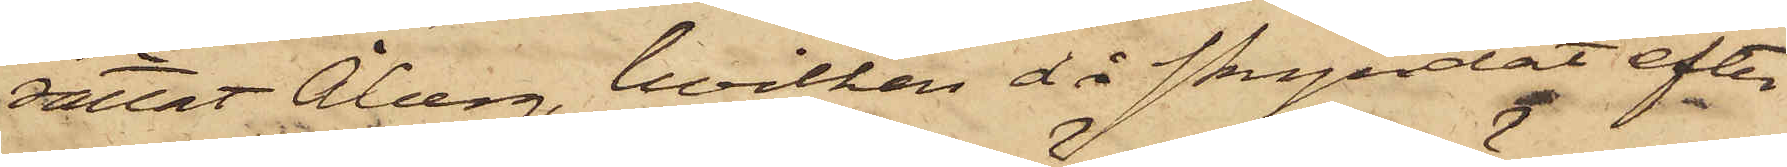rättat Åberg, hvilken då skyndat efter
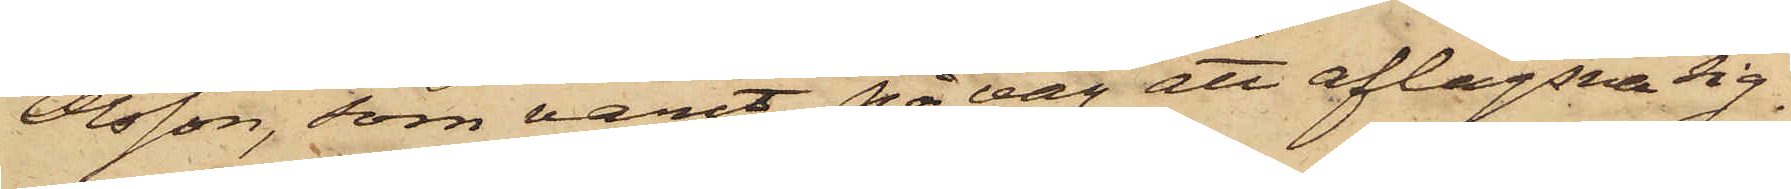Olsson, som varit på väg att aflägsna sig.
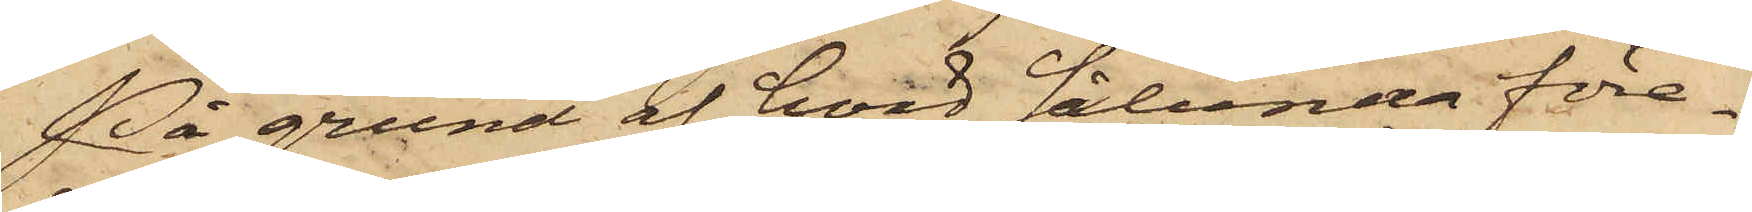På grund af hvad sålunda före¬
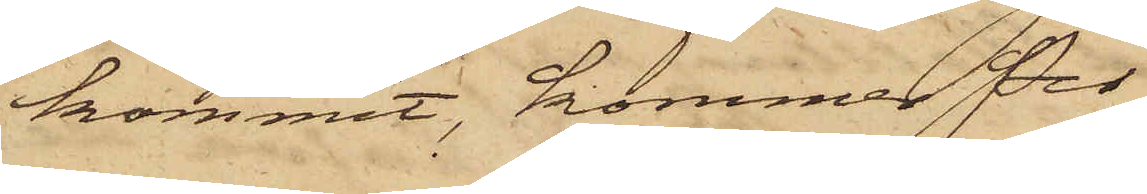kommit, kommer Per
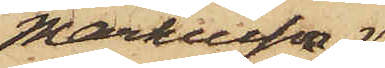Markusson 
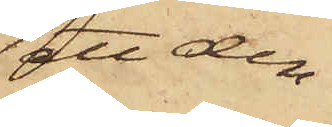att den¬
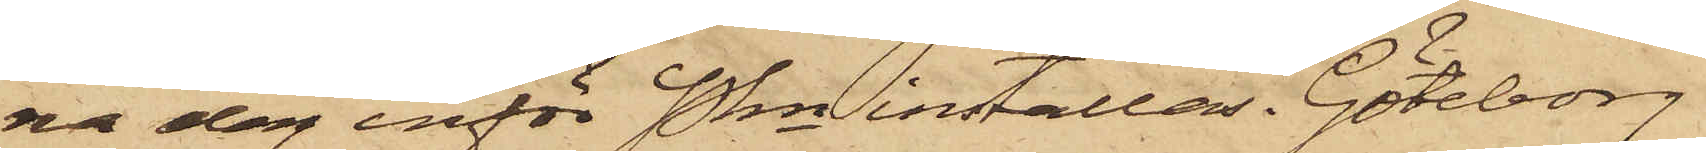na dag inför Pkn inställas. Göteborg
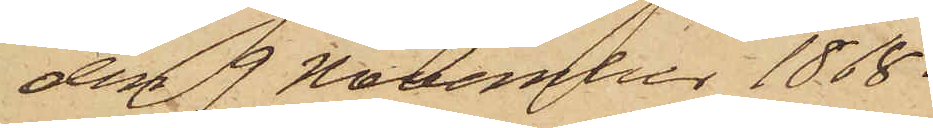den 9 November 1868.
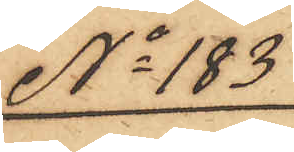No 183
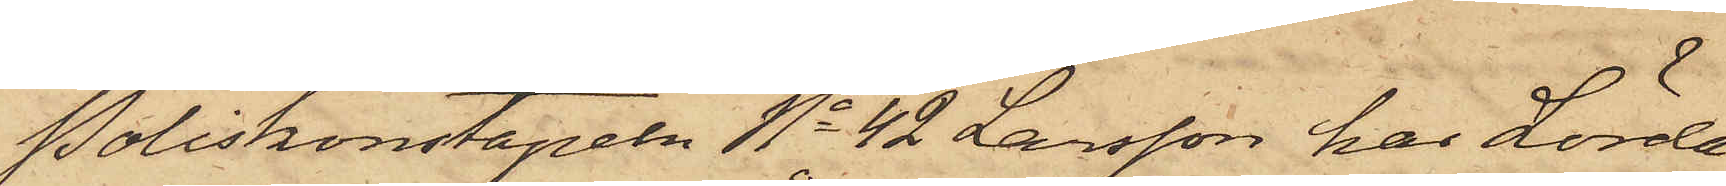Poliskonstapeln No 42 Larsson har Lörda¬
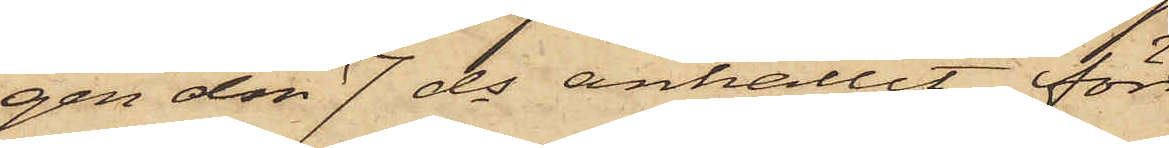gen den 7 ds anhållit för
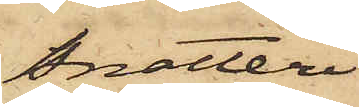Snatteri
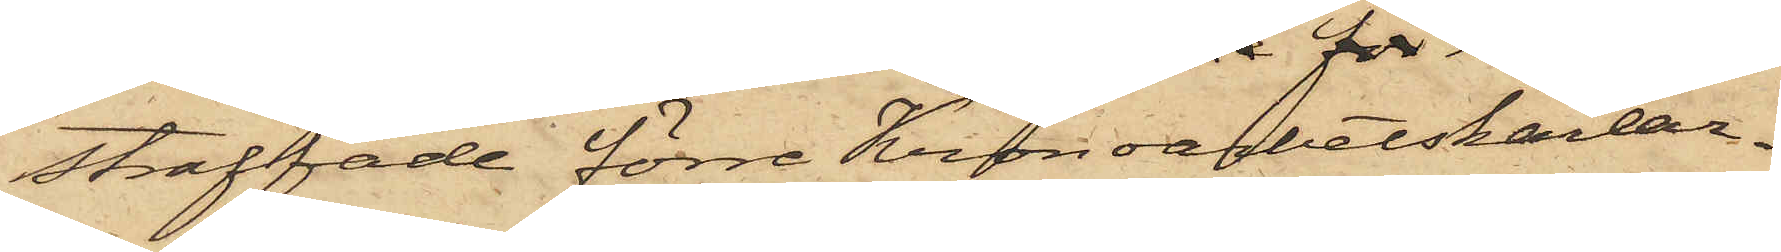straffade förre Kronoarbetskarlar¬
